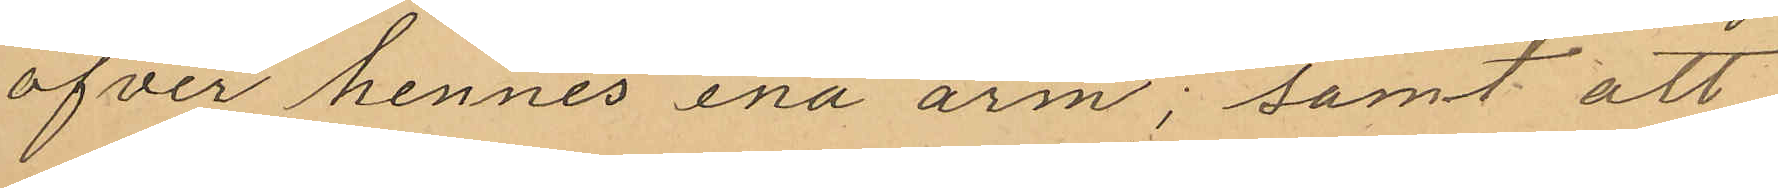öfver hennes ena arm; samt att
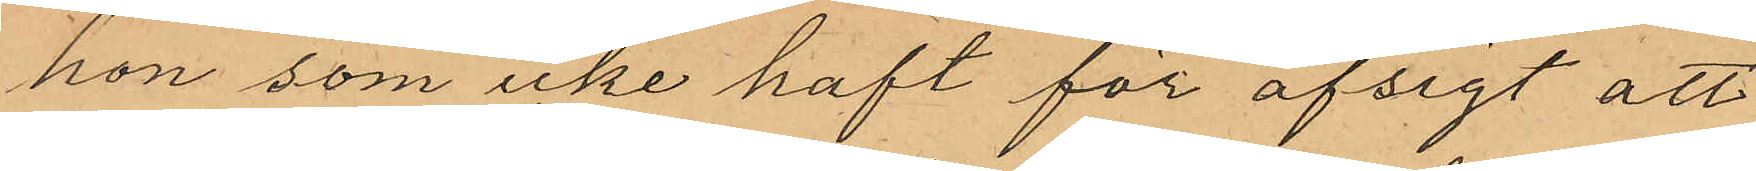hon som icke haft för afsigt att
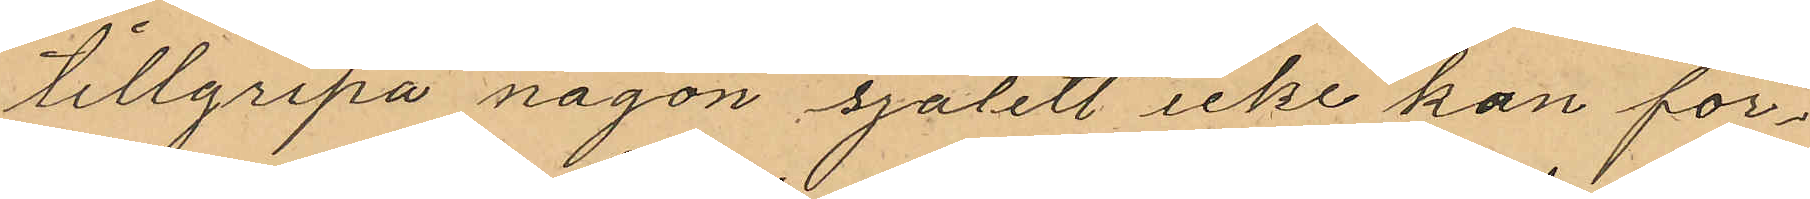tillgripa någon sjalett icke kan för¬
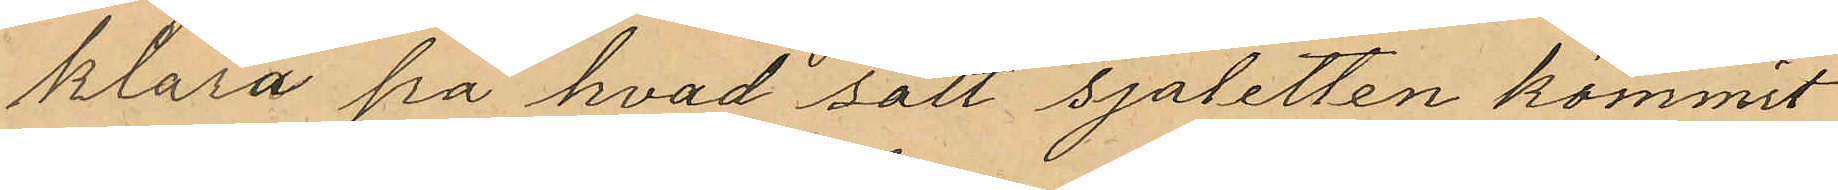klara på hvad sätt sjaletten kommit
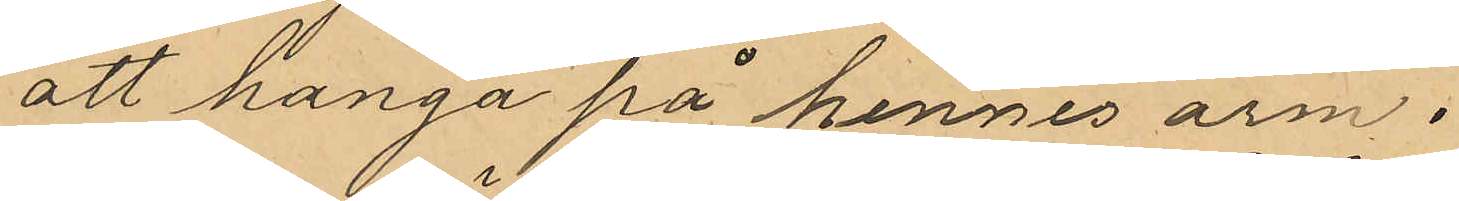att hanga på hennes arm.
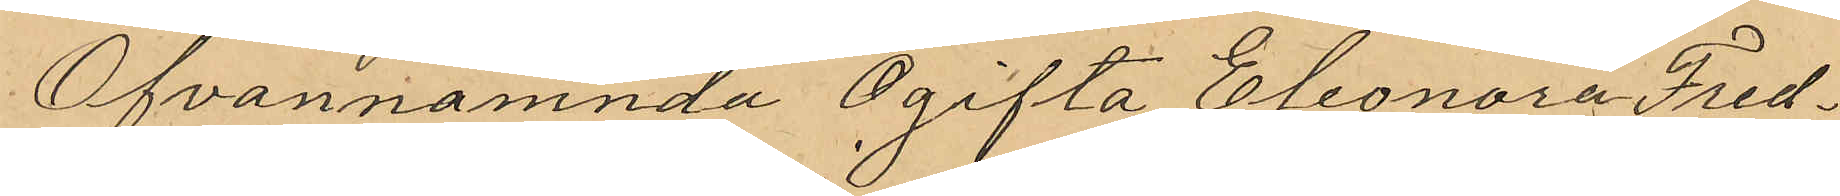Ofvannämnda Ogifta Eleonora Fred¬
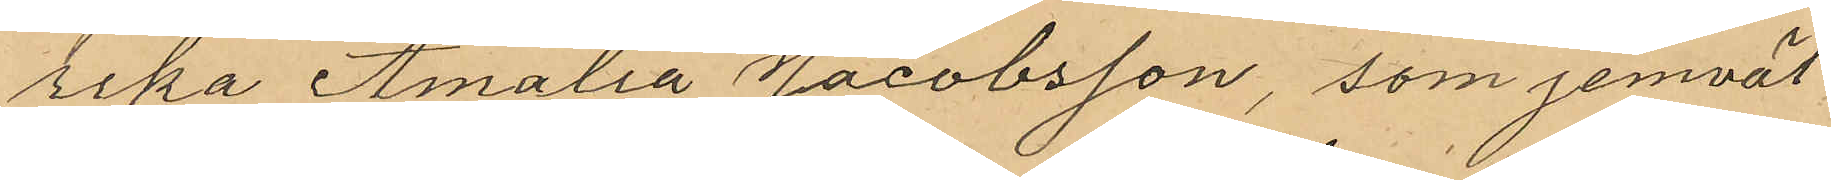rika Amalia Jacobsson, som jemväl
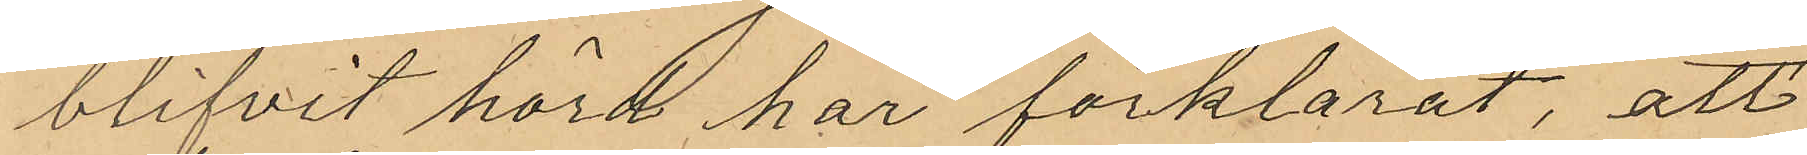blifvit hörd har förklarat, att
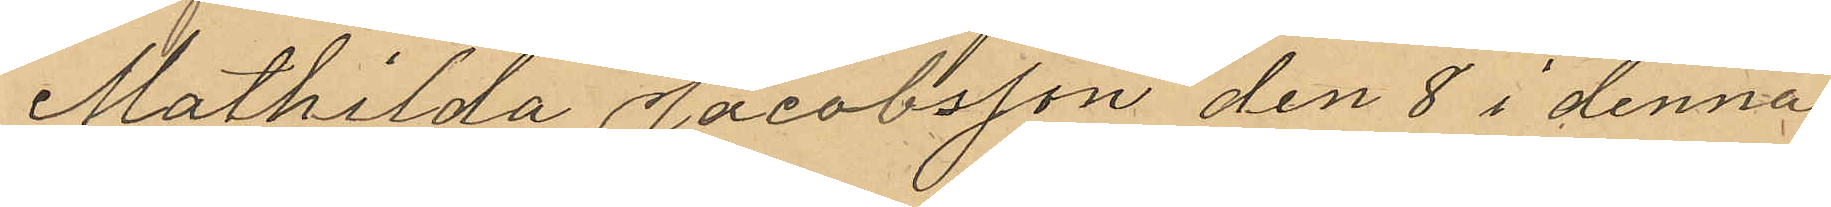Mathilda Jacobsson den 8 i denna
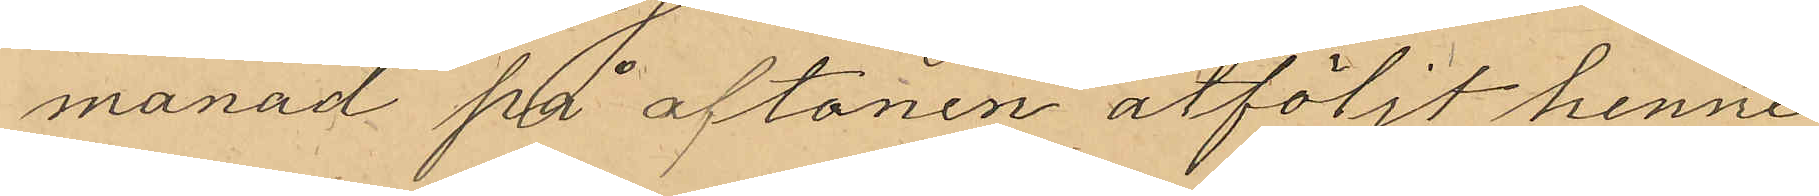månad på aftonen åtföljt henne
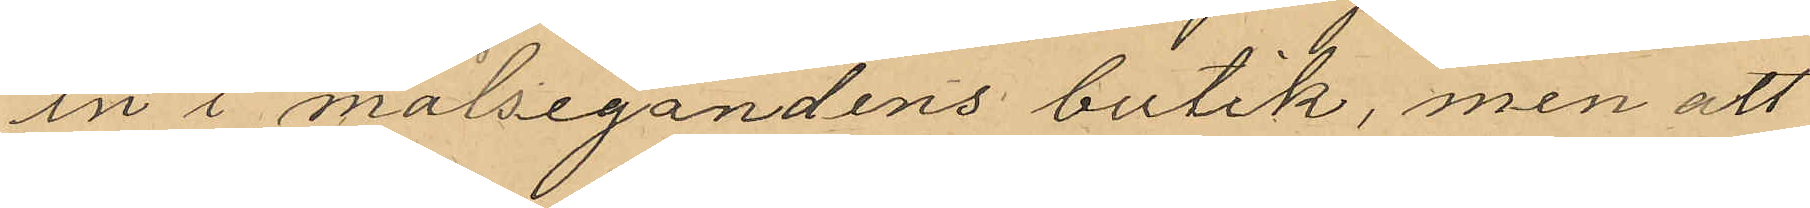in i målsegandens butik, men att
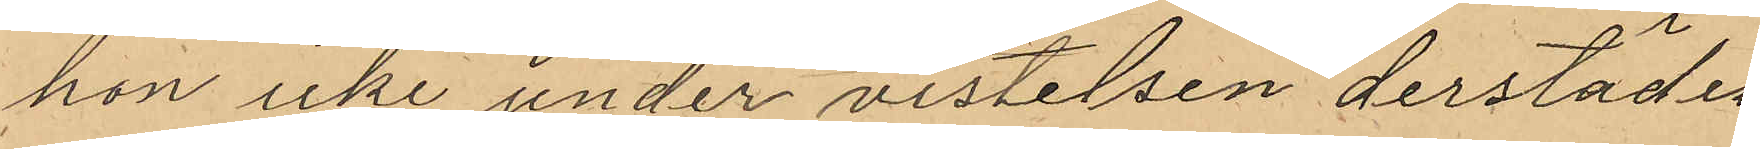hon icke under vistelsen derstädes
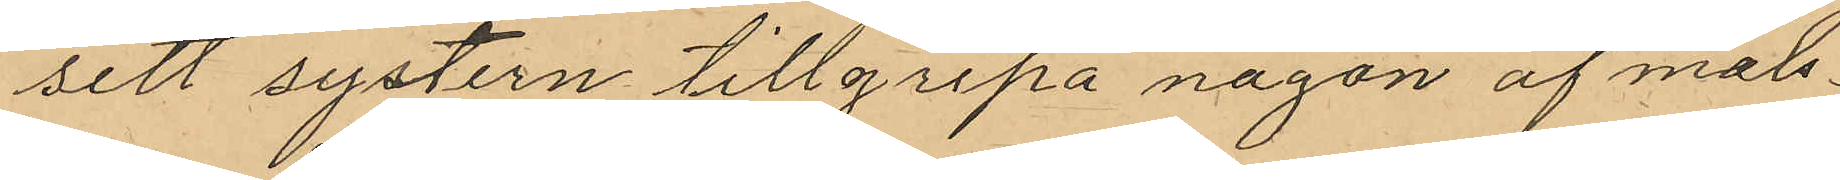sett systern tillgripa någon af måls¬
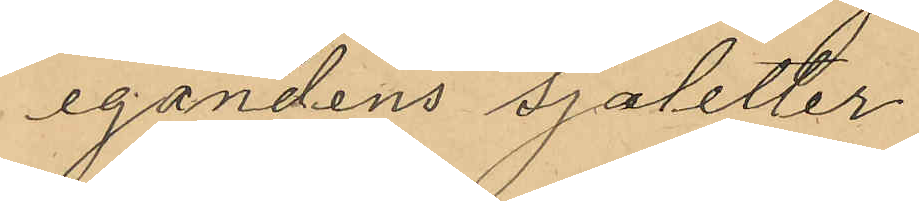egandens sjaletter.
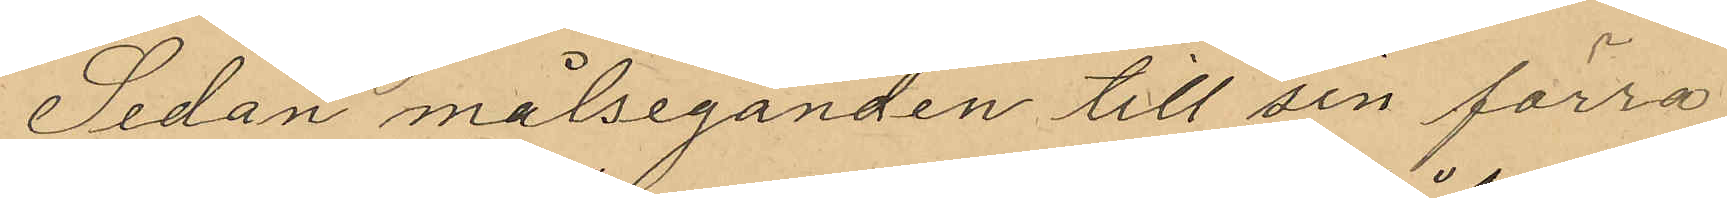Sedan målseganden till sin förra
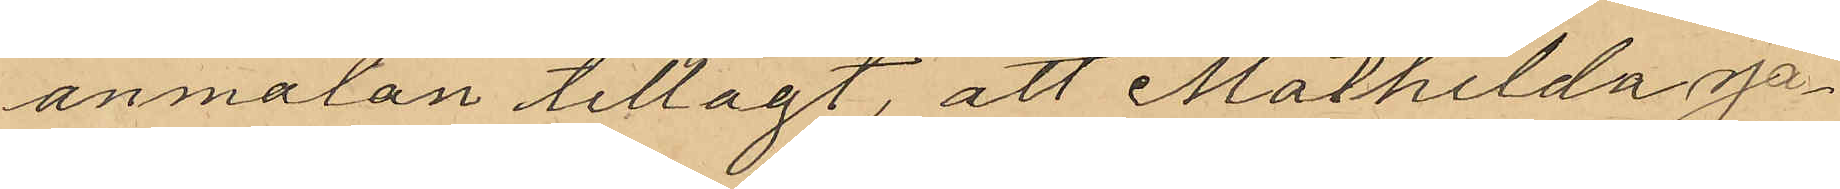anmälan tillagt, att Mathilda Ja¬
